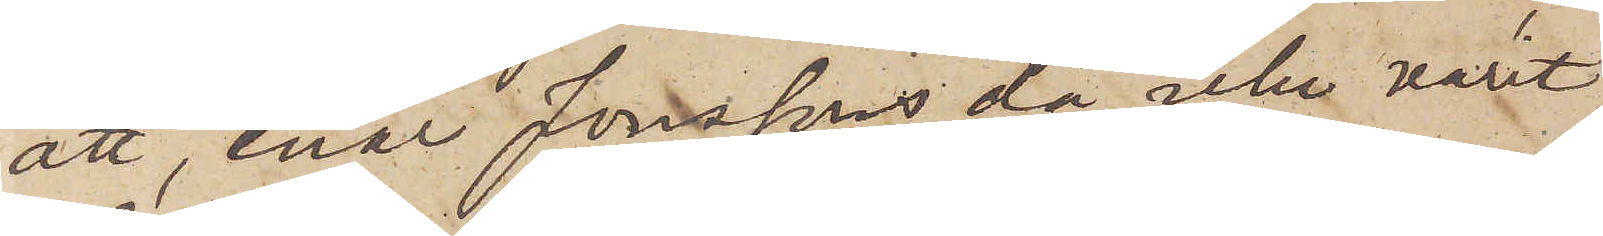att, enär Jonssons då icke varit
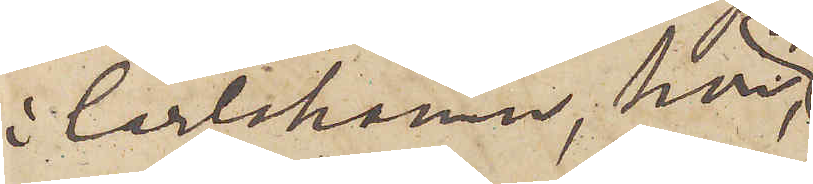i Carlshamn, hon
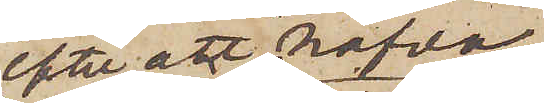efter att hafva
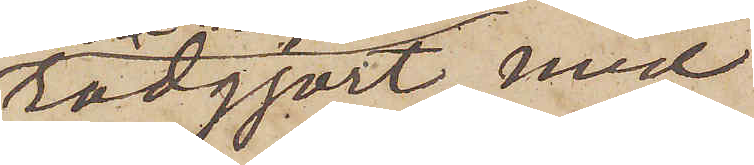rådgjort med
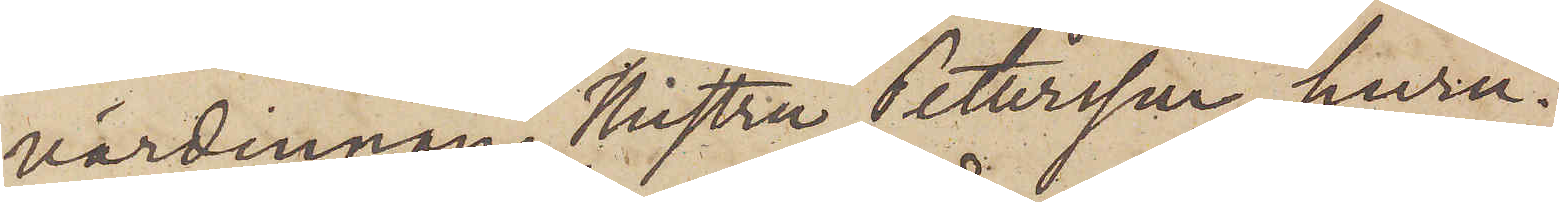värdinnan, Hustru Petersson, huru¬
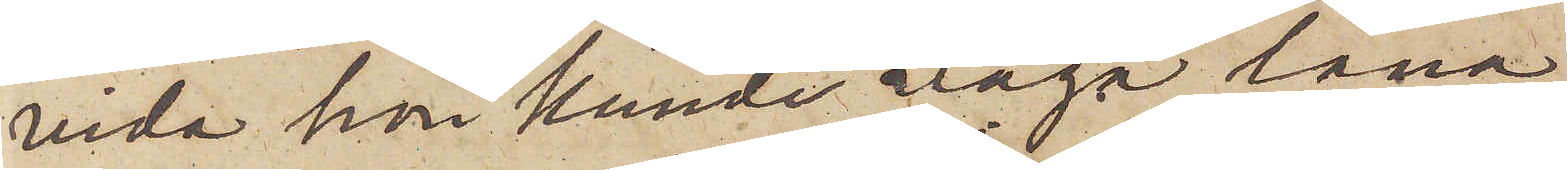vida hon kunde våga låna
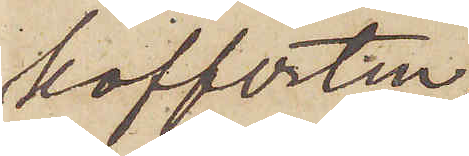kofferten,
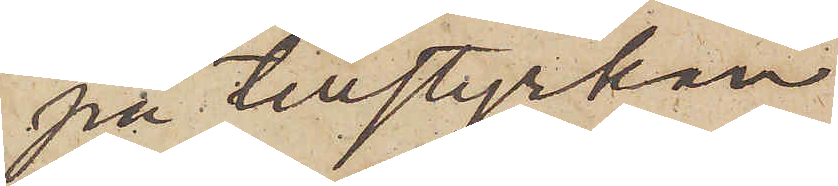på tillstyrkan
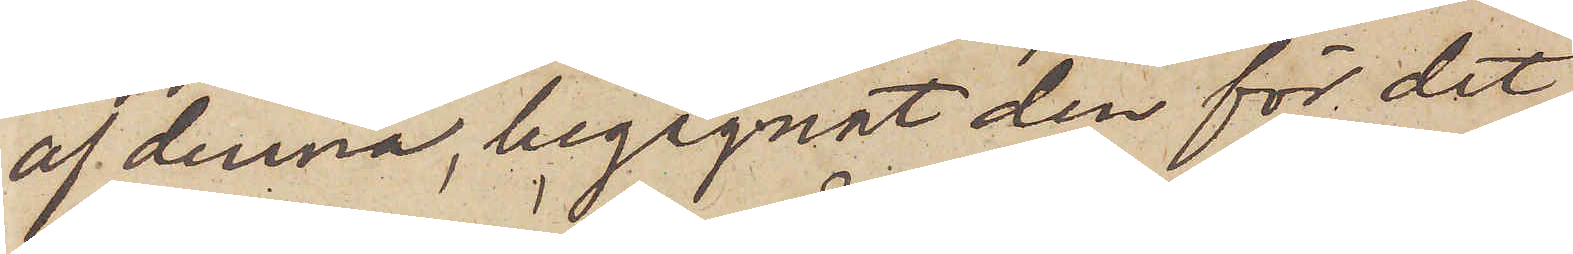af denna, begagnat den för det
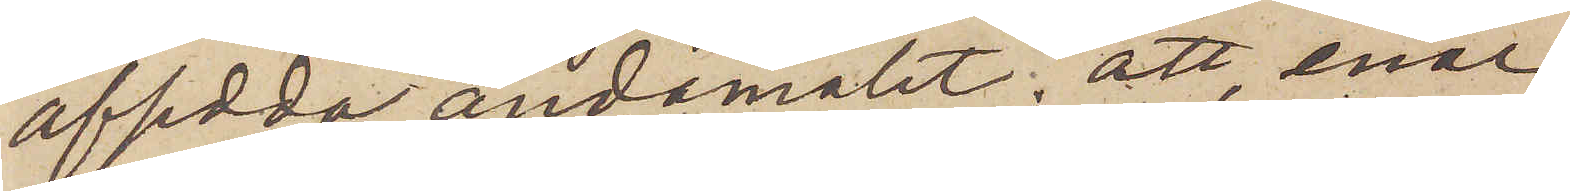afsedda ändamålet; att, enär
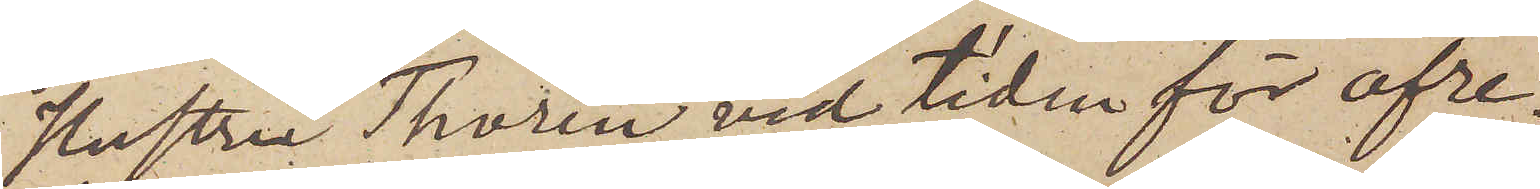Hustru Thorén vid tiden för afre¬
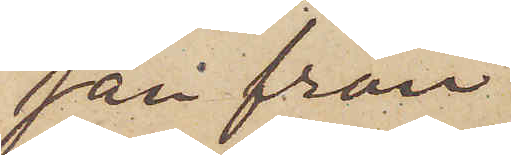san från
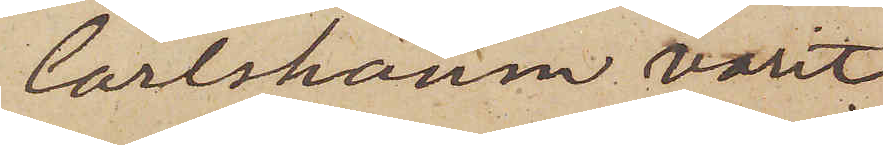Carlshamn varit
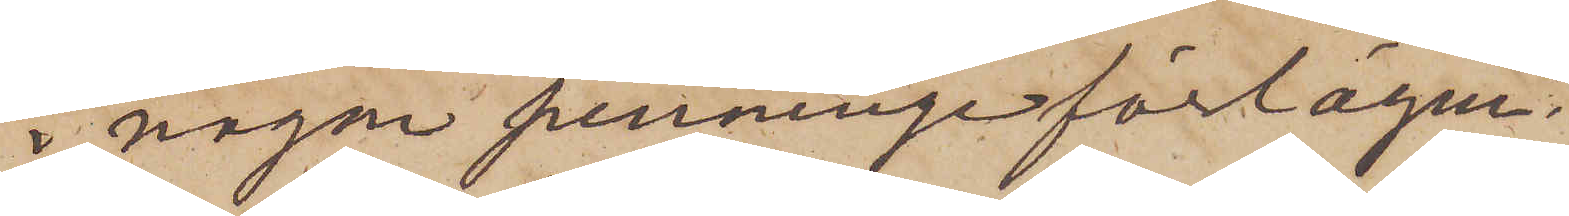i någon penninge förlägen¬
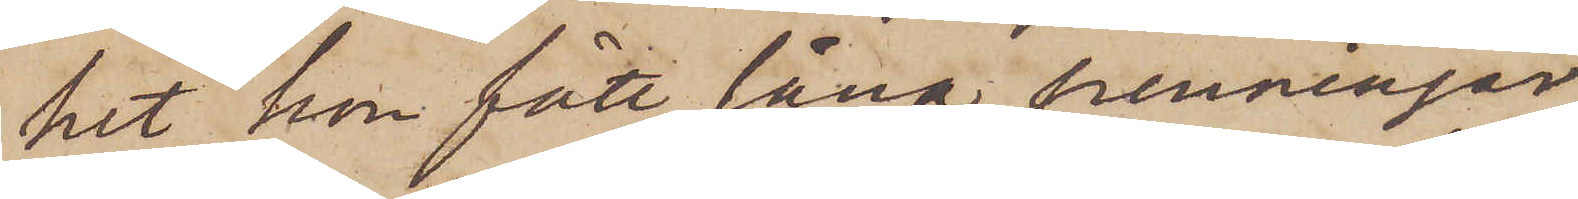het, hon fått låna penningar
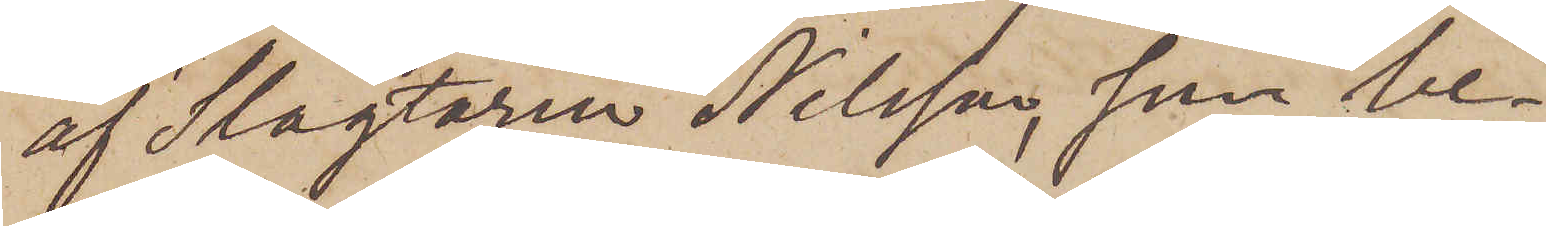af Slagtaren Nilsson, som be¬
